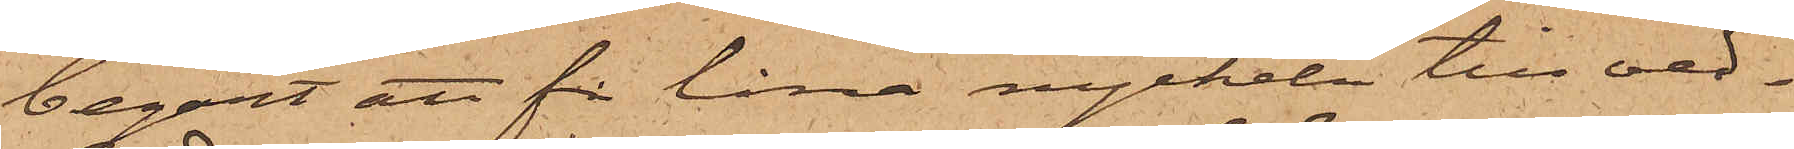begärt att få låna nyckeln till ved¬
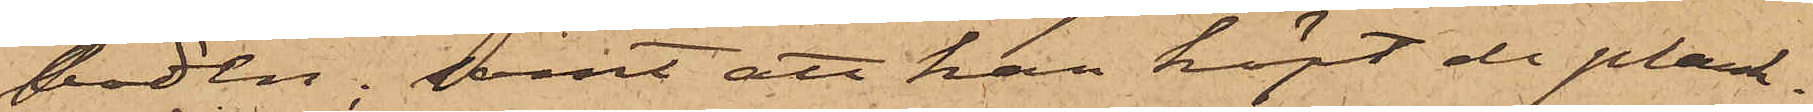boden; samt att han köpt de plank¬
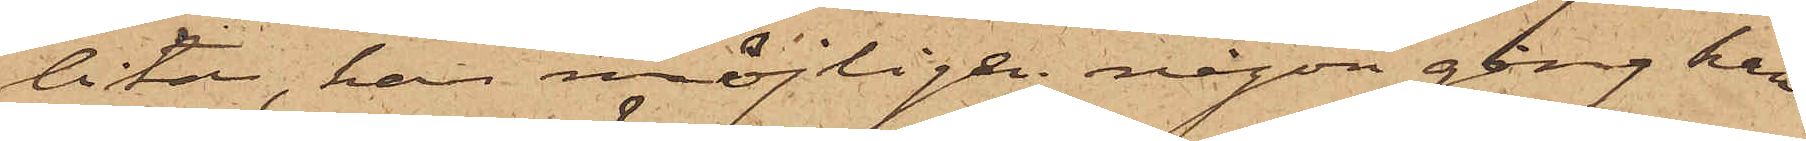bitar, han möjligen någon gång kan
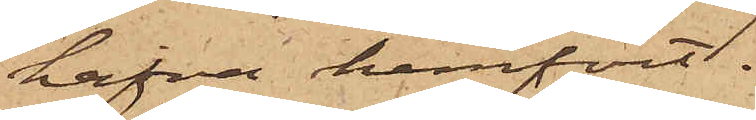hafva hemfört.
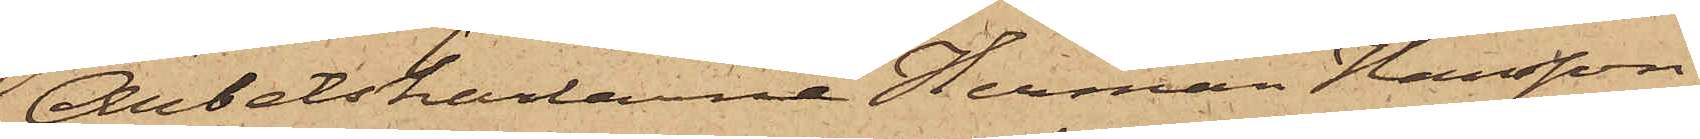Arbetskarlarne Herman Hansson,
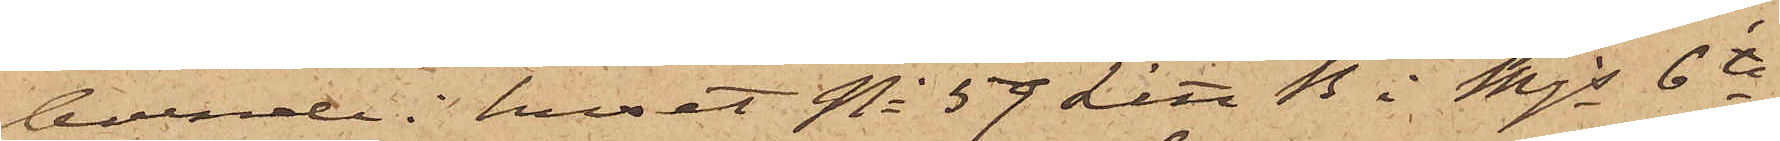boende i huset No 59 Litt B i Mjs 6te
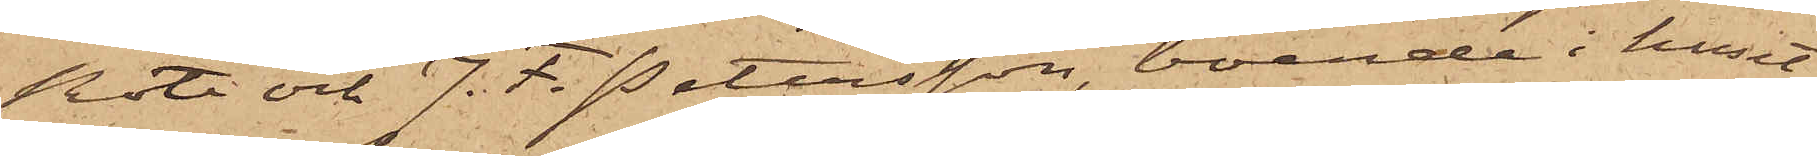Rote och J. F. Petersson, boende i huset
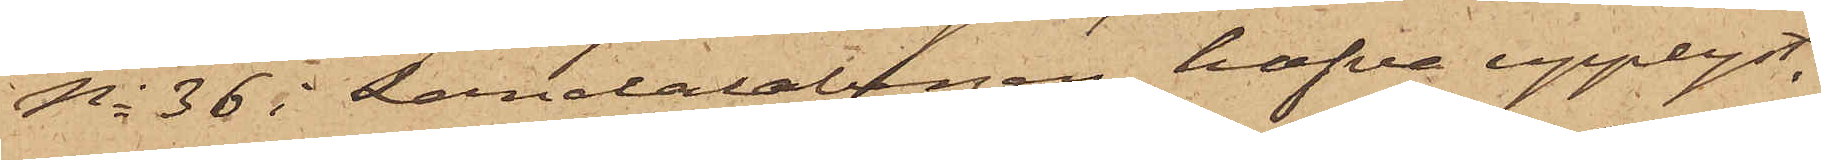No 36 i Landalabergen hafva upplyst,
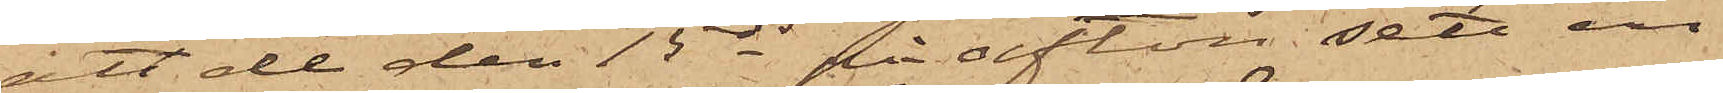att de den 15 ds på afton sett en
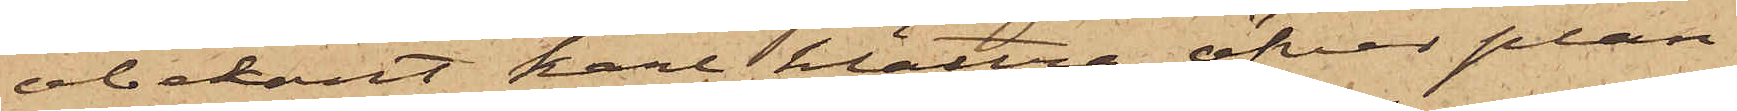obekant karl klättra öfver plan¬
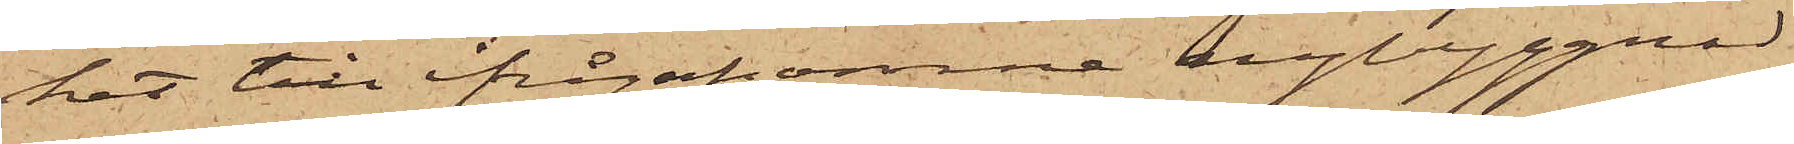ket till ifrågakomne nybyggnad
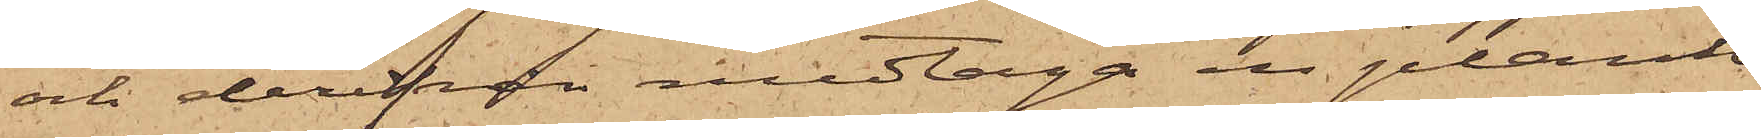och derifrån medtaga en plank,
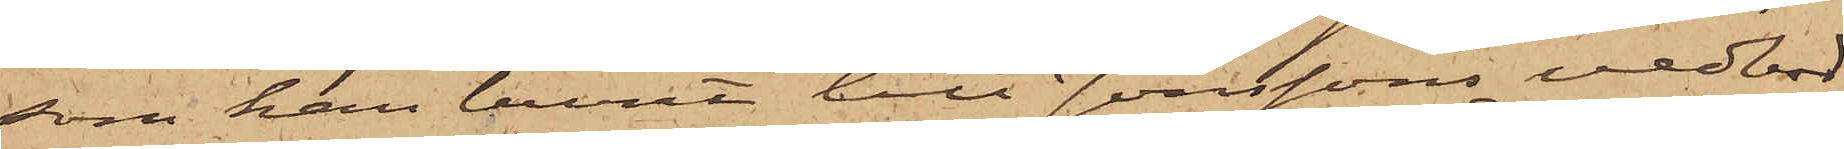som han burit till Jonssons vedbod,
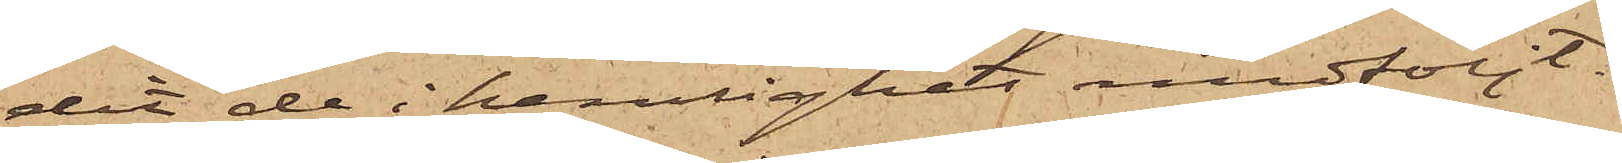dit de i hemlighet medföljt.
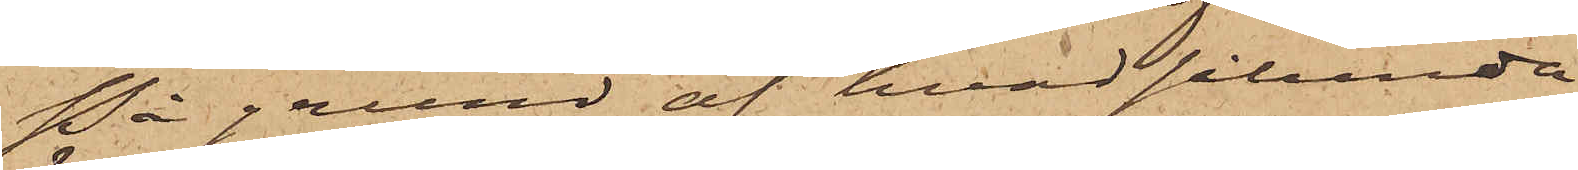På grund af hvad sålunda
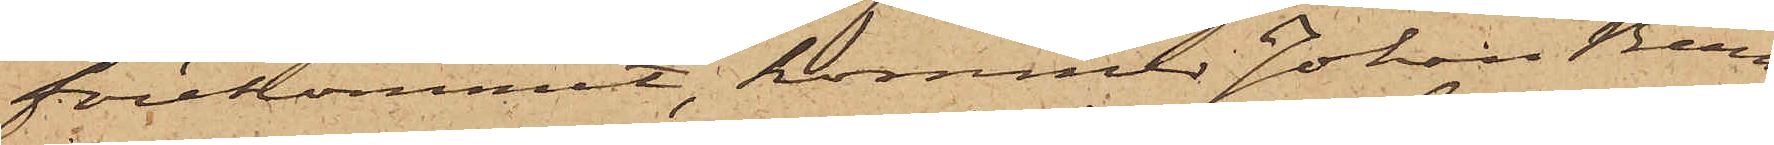förekommit, kommer Johan Bern¬
